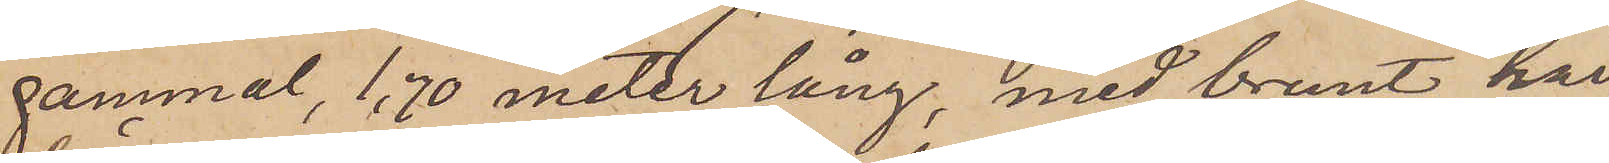gammal, 1,70 meter lång, med brunt hår,
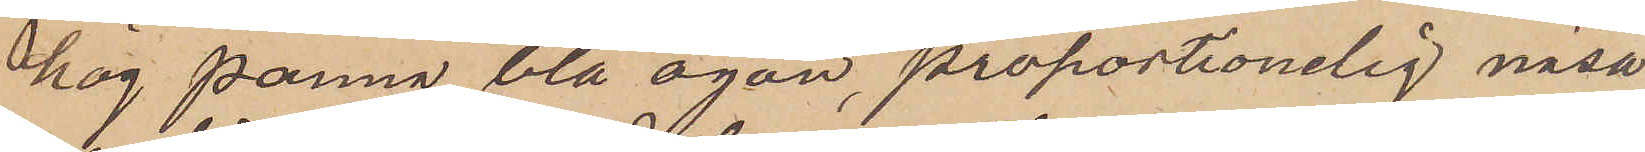hög panna, blå ögon, proportionelig näsa,
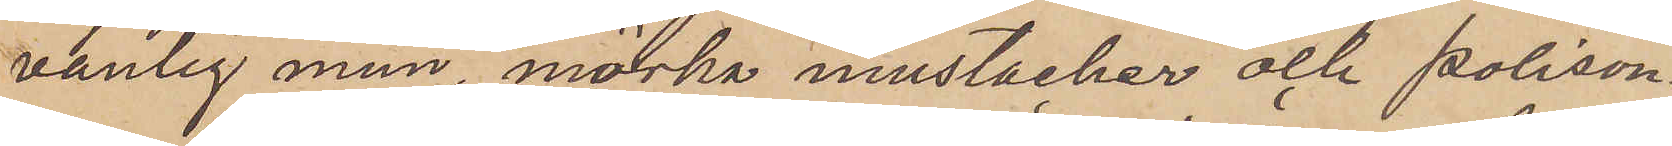vanlig mun, mörka mustacker och polison¬
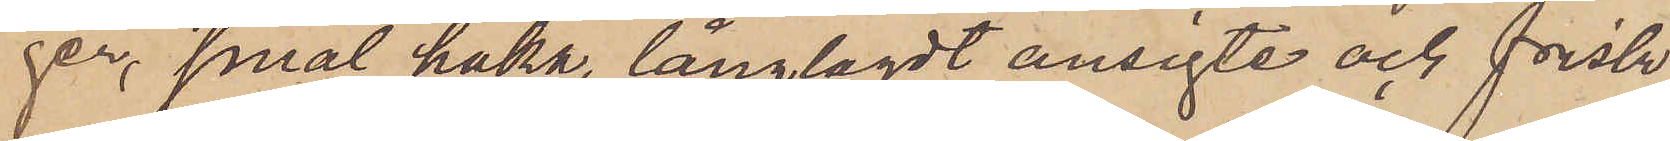ger, smal haka, långlagdt ansigte och frisk
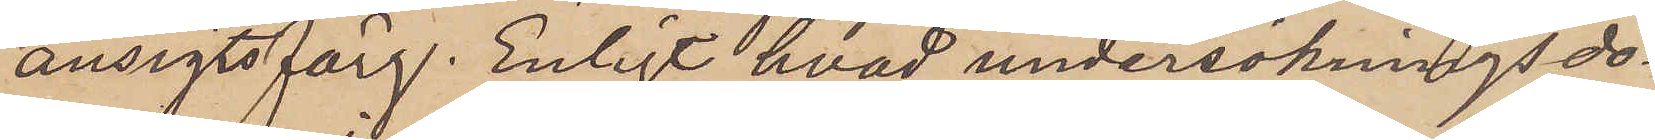ansigtsfärg. Enligt hvad undersökningsdo¬
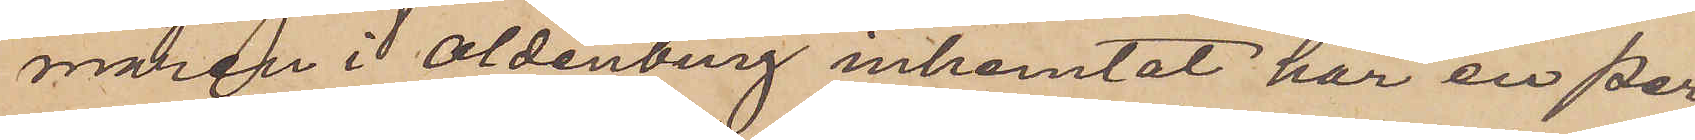maren i Oldenberg inhemtat har en per¬
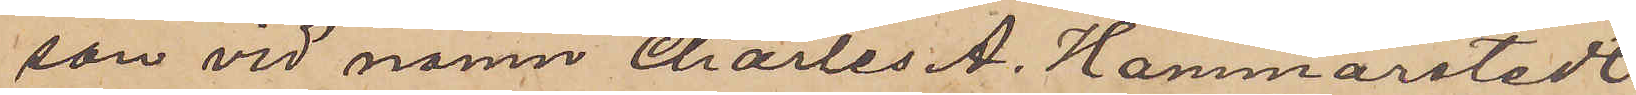son vid namn Charles A. Hammarstedt
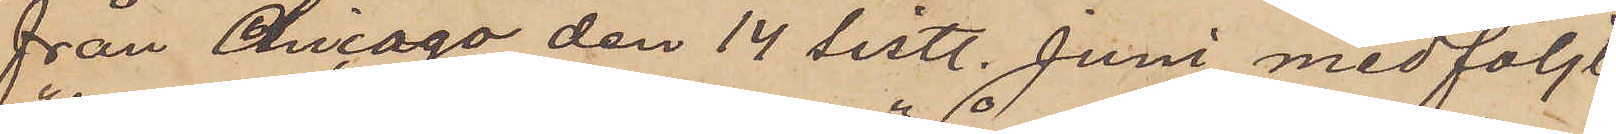från Chicago den 14 sistl. Juni medföljt
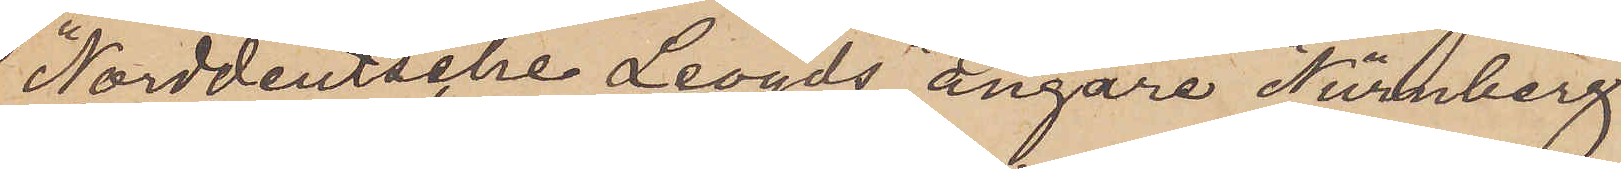"Norddeutsche Leogds" ångare "Nürnberg"
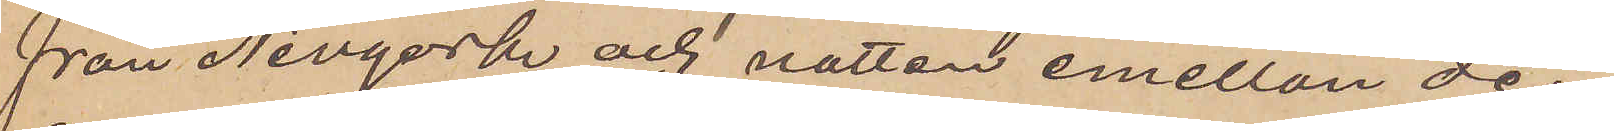från Nevyork och natten emellan den
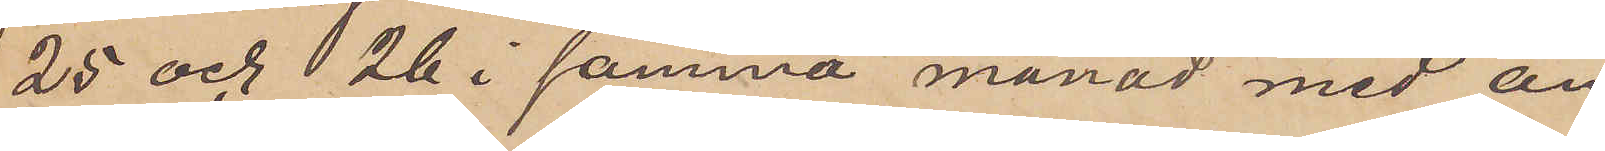25 och 26 i samma månad med ån¬
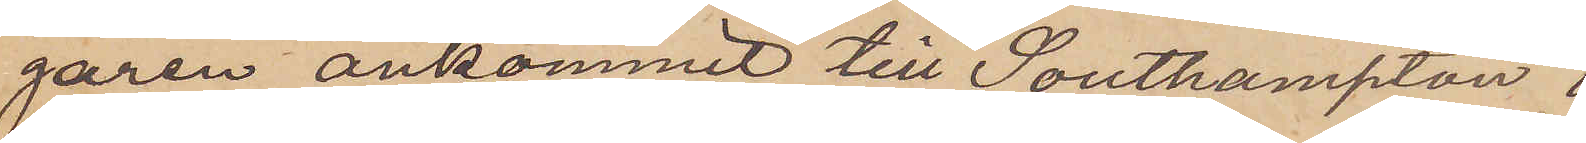garen ankommit till Southampton i
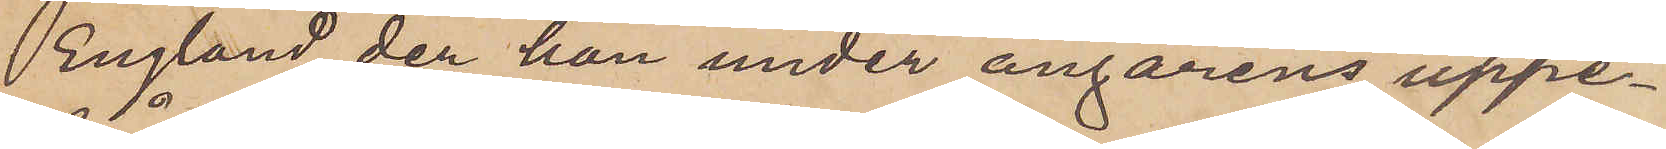England, der han under ångarens uppe¬
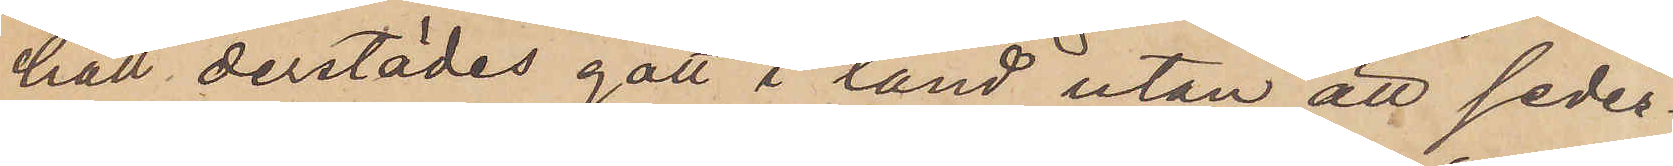håll derstädes gått i land utan att seder¬
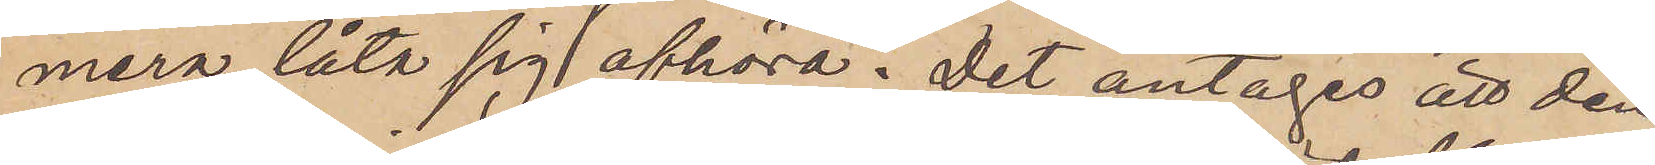mera låta sig afhöra. Det antages att den
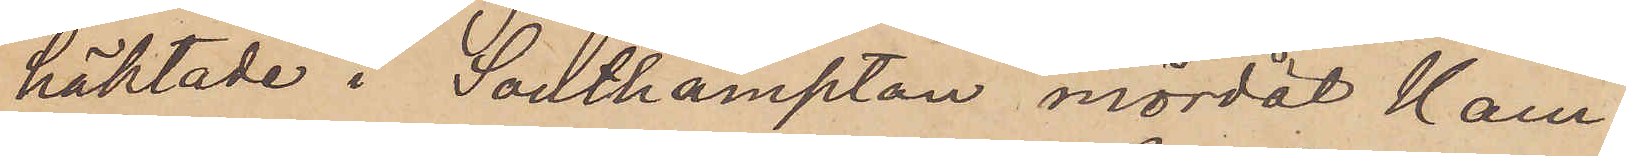häktade i Southampton mördat Ham¬
